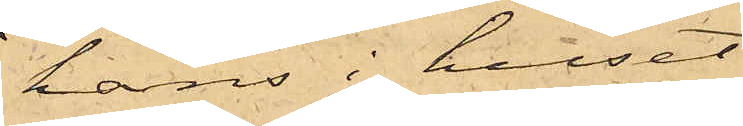hans i huset
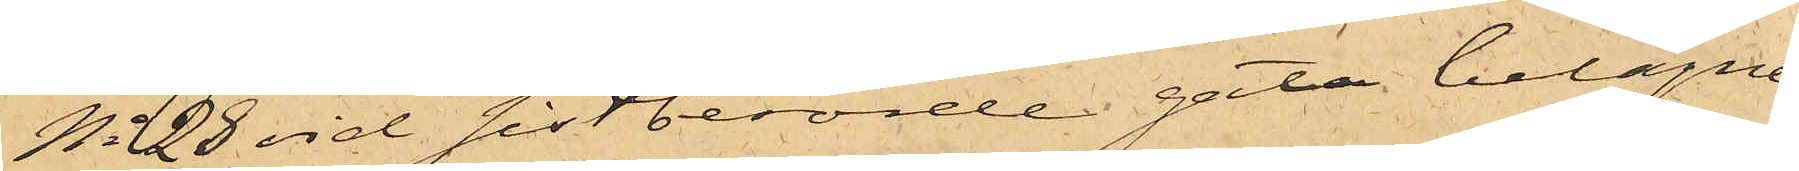No 28 vid sistberörde gata belägne
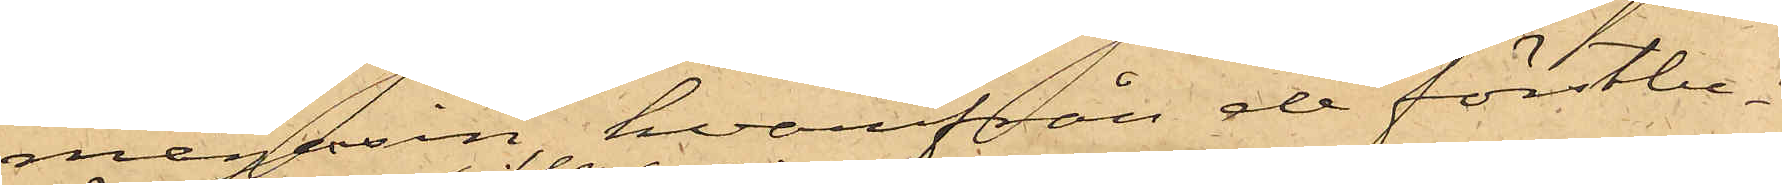magasin, hvarifrån de förstbe¬
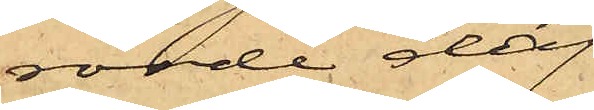rörde dag
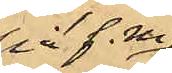på f. m.
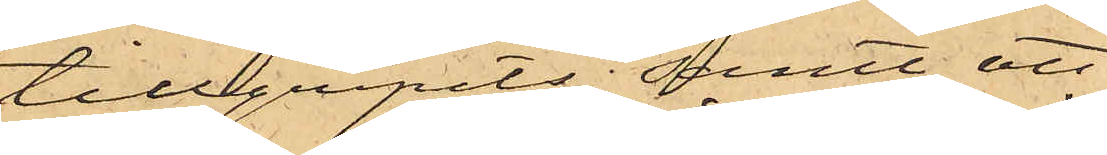tillgripits; samt att
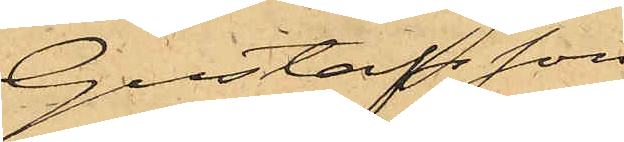Gustafsson
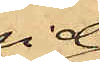vid
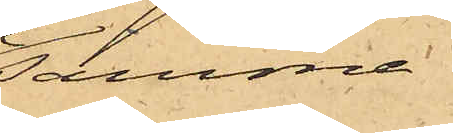samma
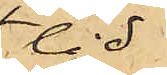tid
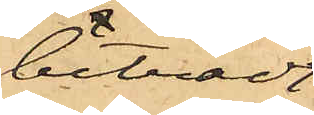biträdt
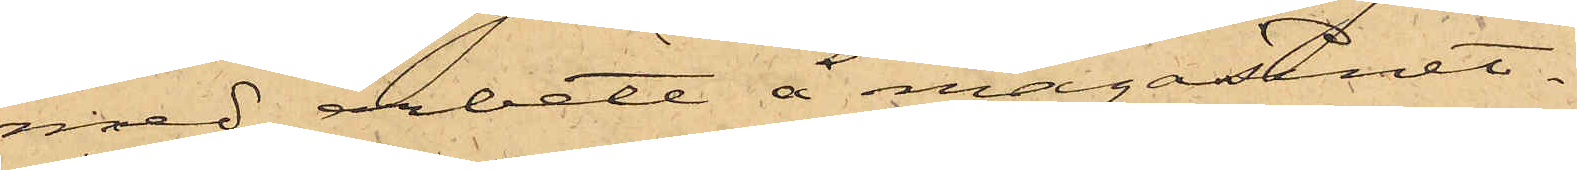med arbete å magasinet.
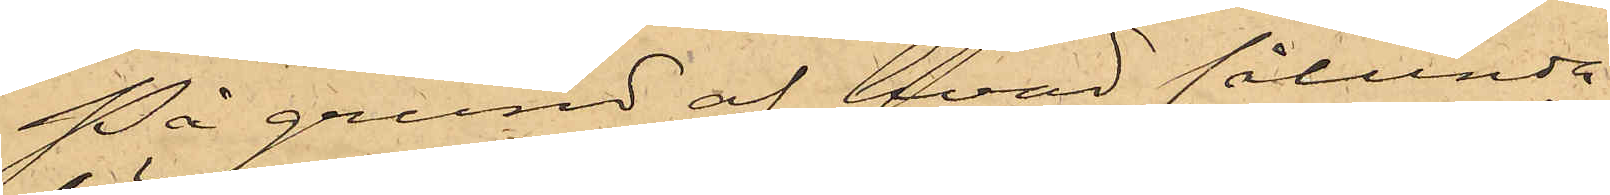På grund af hvad sålunda
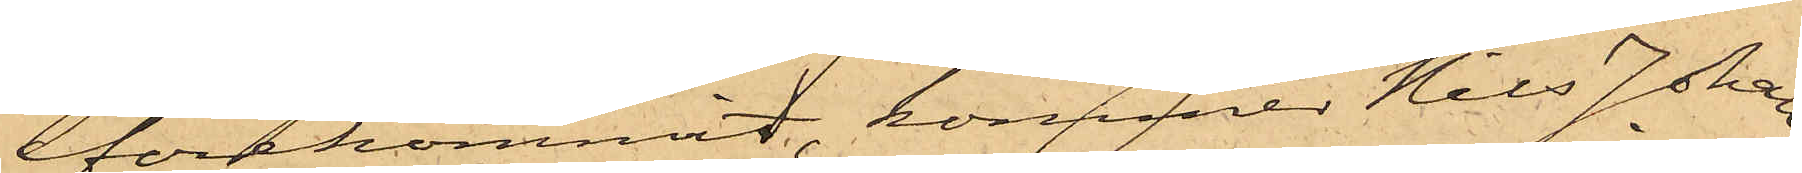förekommit, kommer Nils Johan
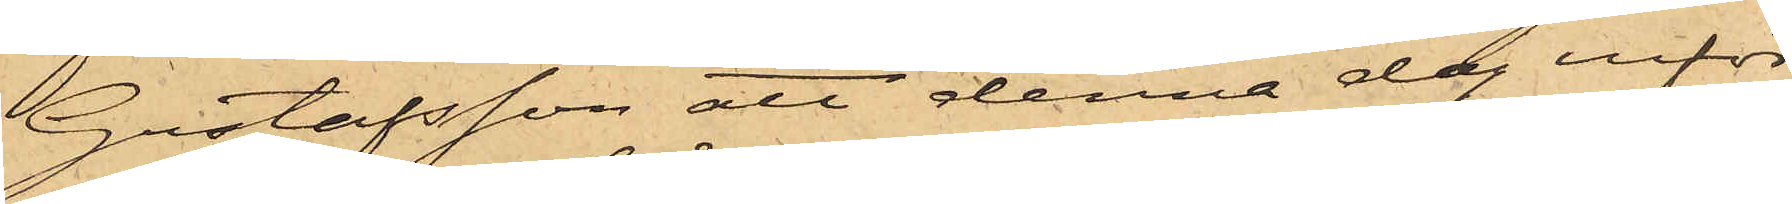Gustafsson att denna dag inför
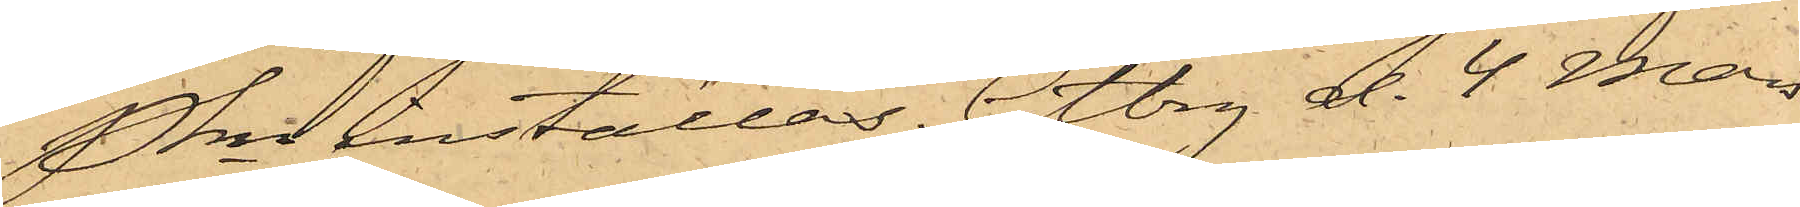Pkn inställas. Gtbrg d. 4 Mars
